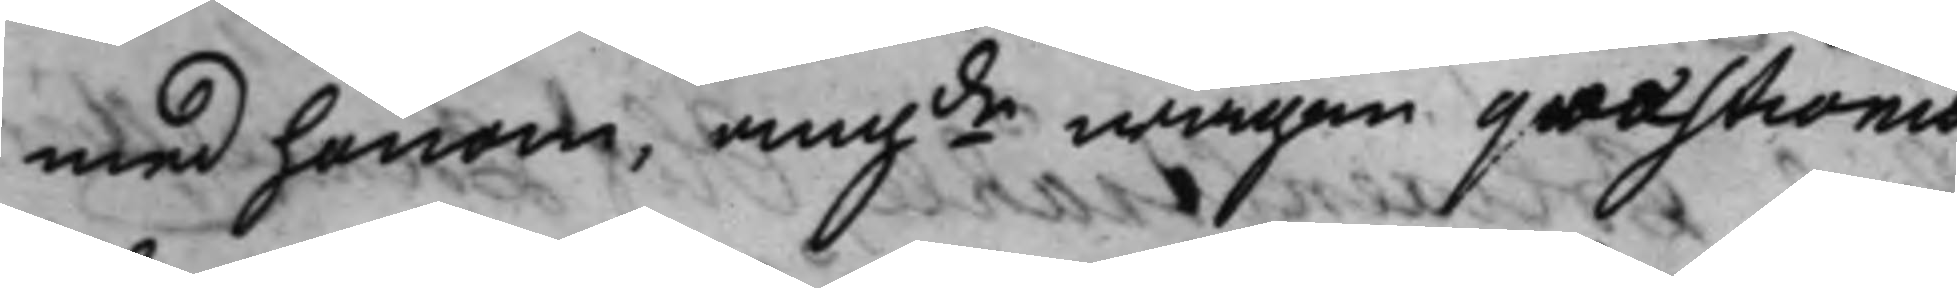med honom, angde wägen quæstionis 
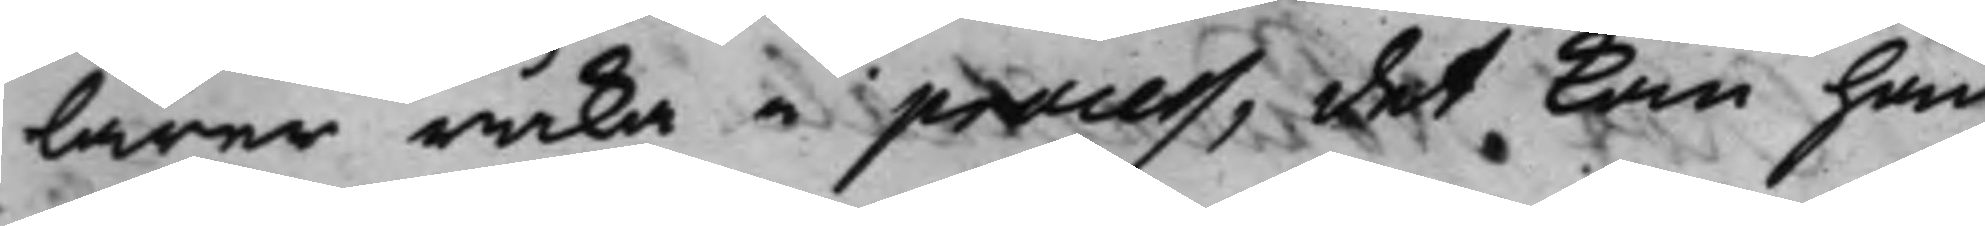lärer råka i process, det kan han
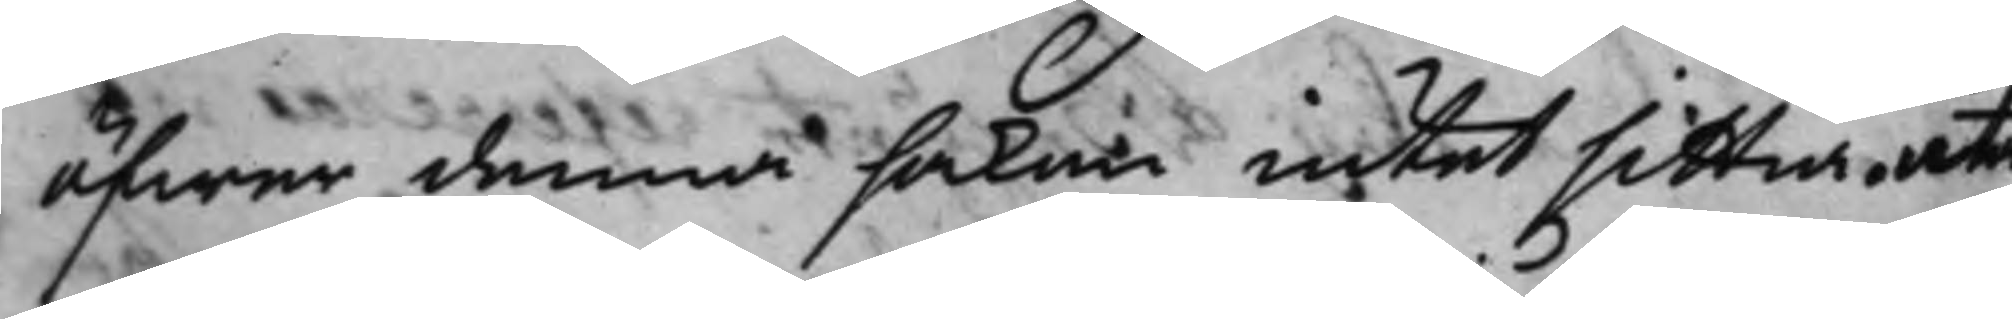öfwer denna saken intet sittia, uta
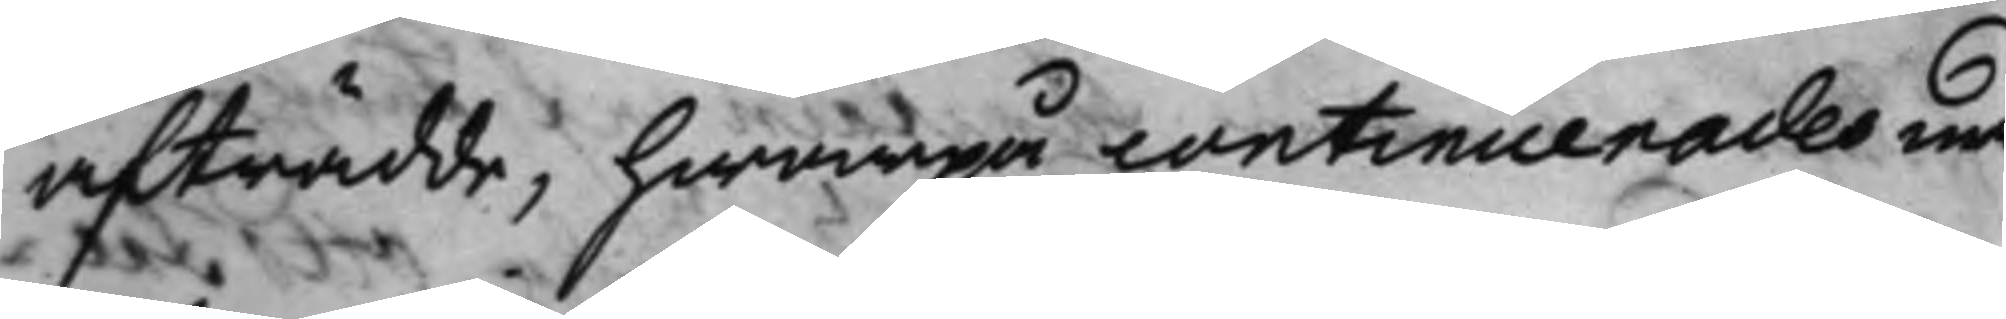afträdde, hwarpå continuerades med
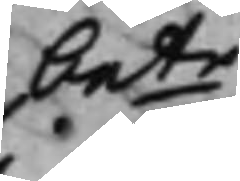bete
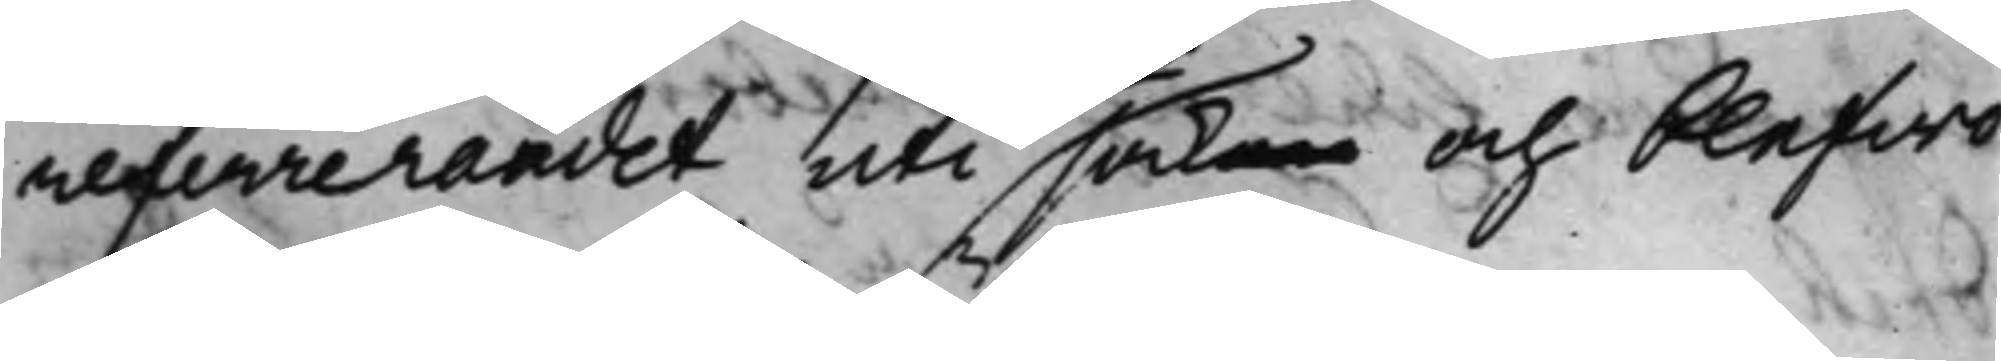referrerandet uti saken och blefwo
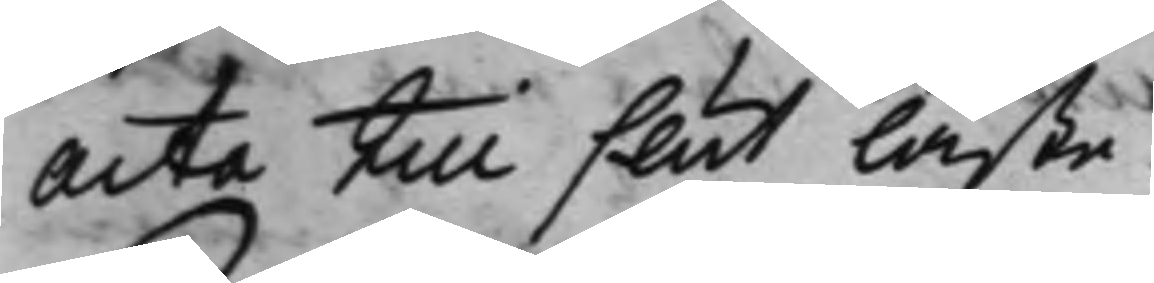Acta till slut läste.
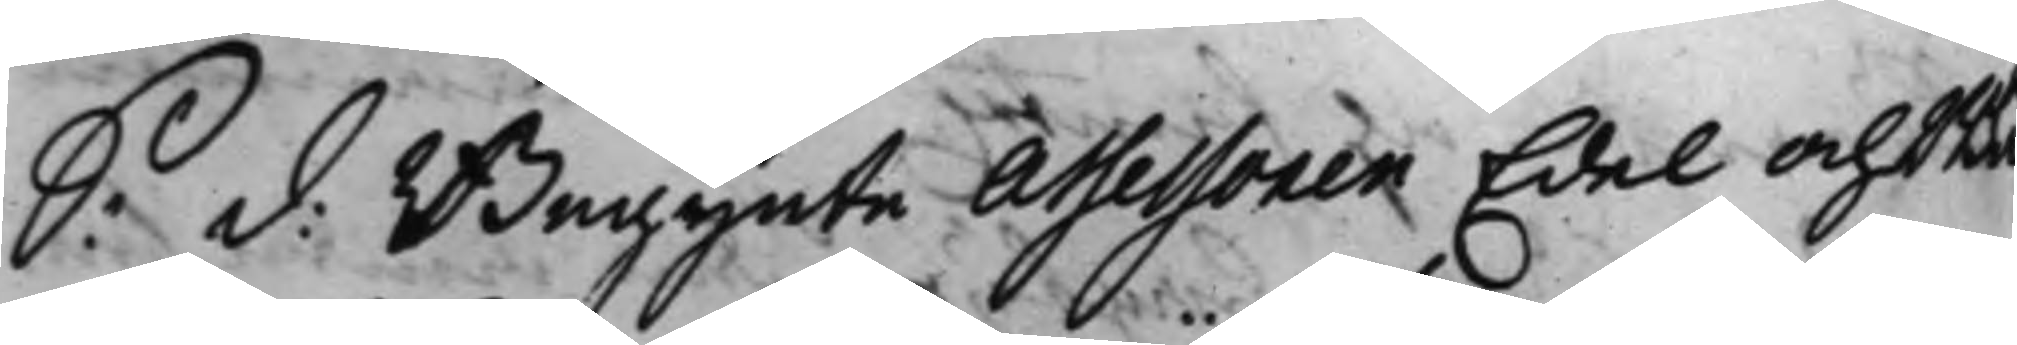S: d: Begynte Assessoren Edel och Wä¬ 
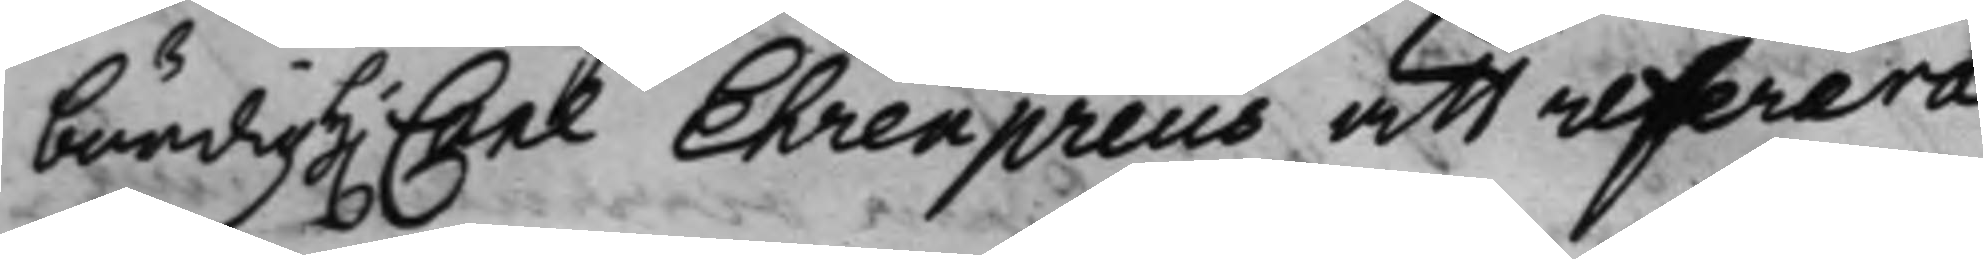bördig h.r Carl Ehrenpreüs att referera
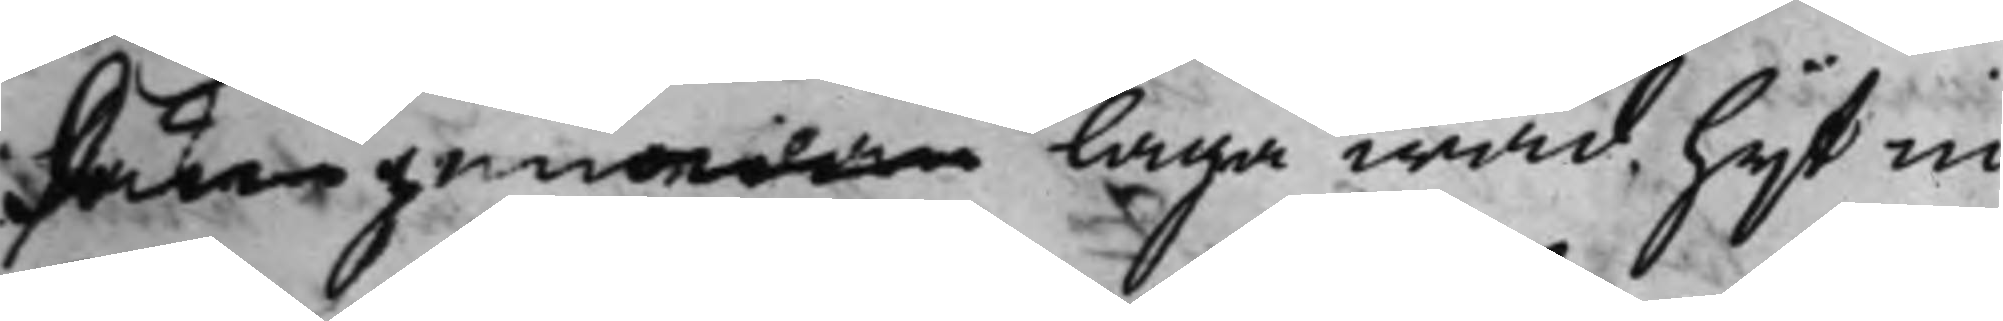Saken genom laga wad hijt in¬
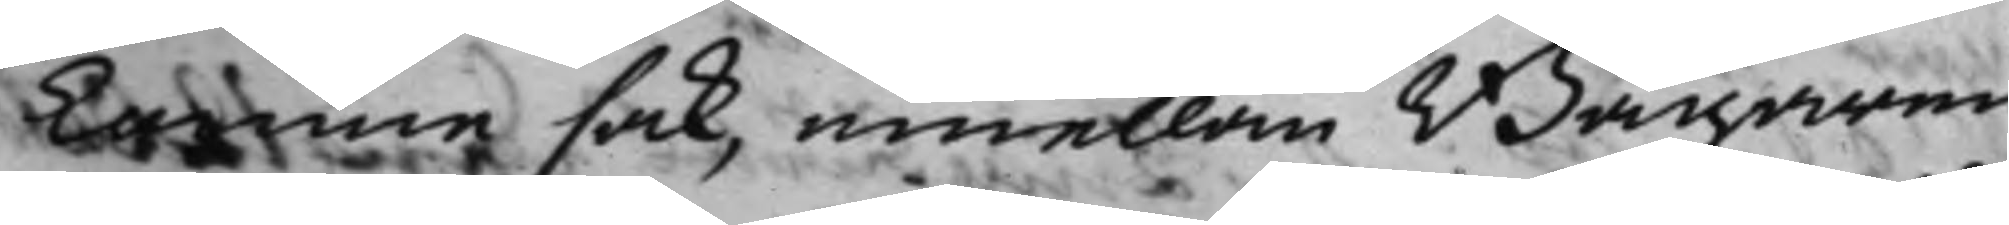komne sak, emellan Bagaren
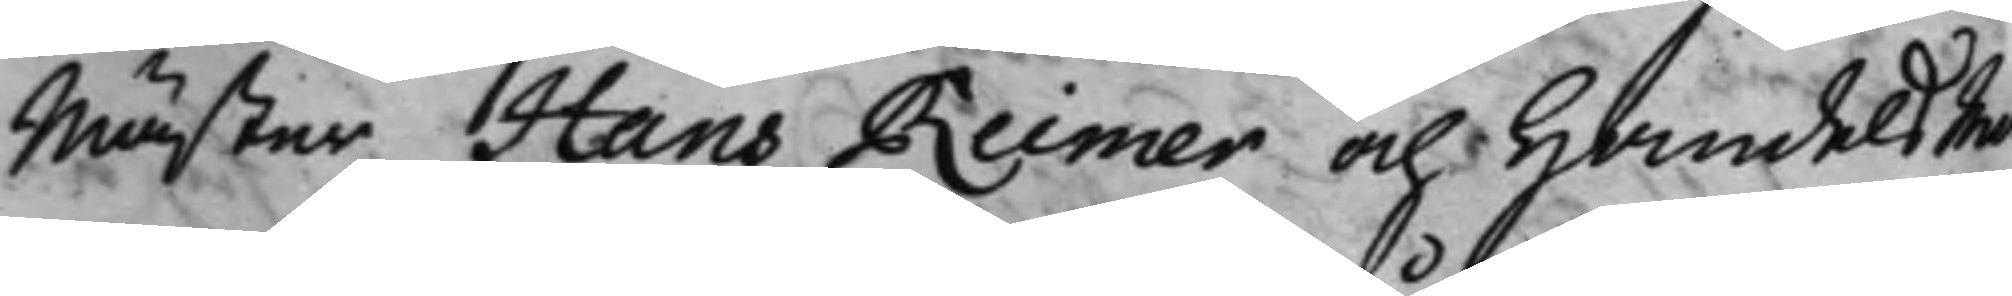Mäster Hans Reimer och HandelsMa¬
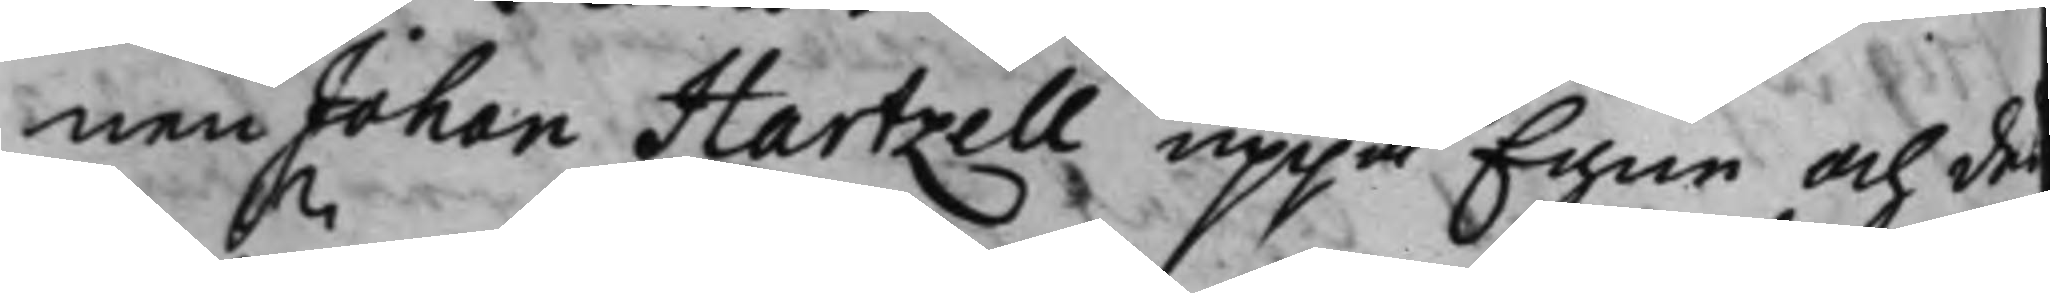nen Johan Hartzell uppå Egne och des
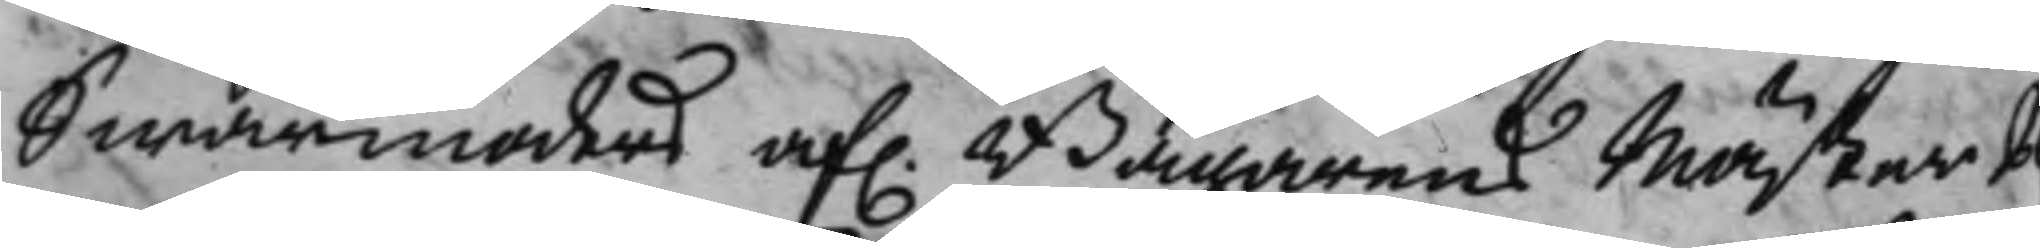Swärmoders af. Bagarens Mäster P¬
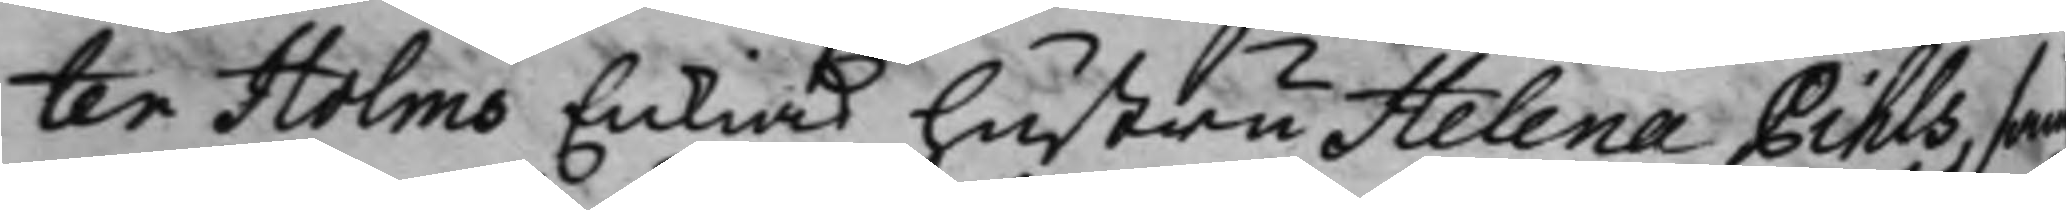ter Holms Enkias hustru Helena Pihls, sam
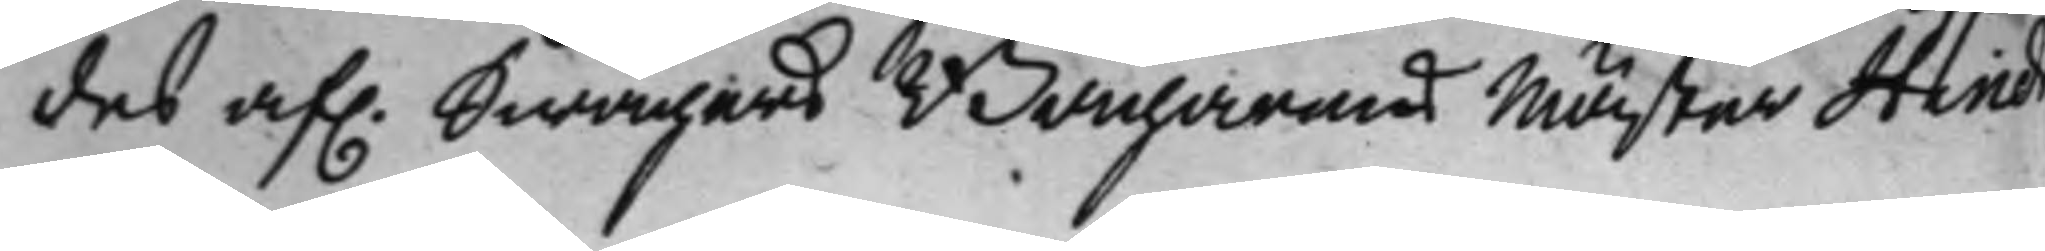des af. Swågers Borgarens Mäster Hind 
